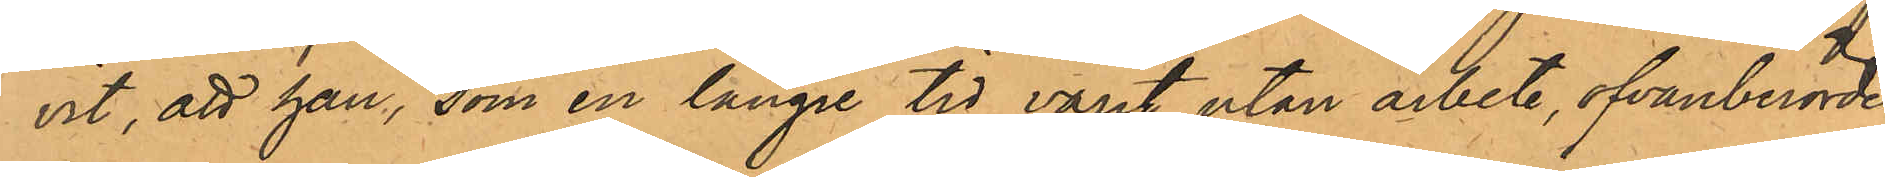vit, att han, som en längre tid varit utan arbete, ofvanberörde
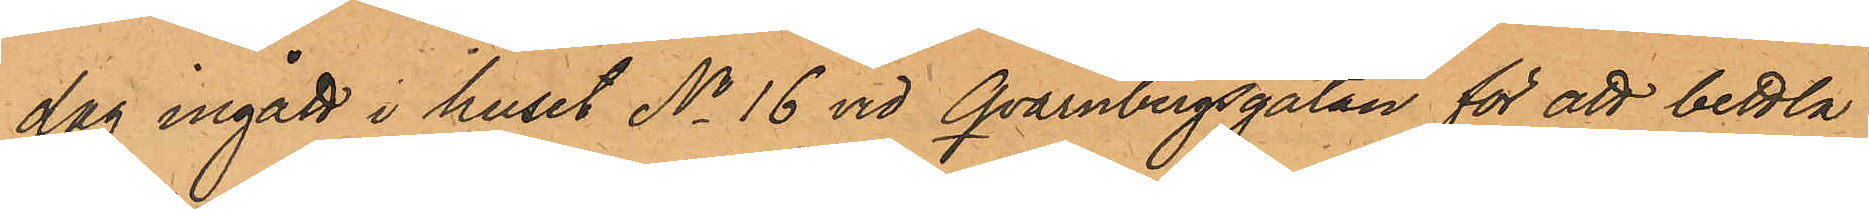dag ingått i huset No 16 vid Qvarnbergsgatan för att bettla,
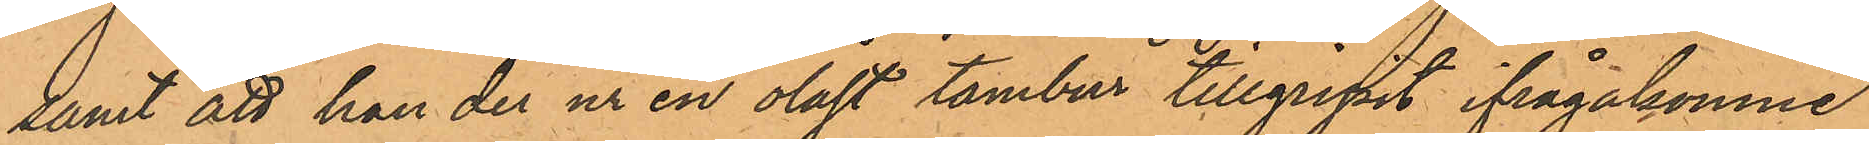samt att han der ur en olåst tambur tillgripit ifrågakomne
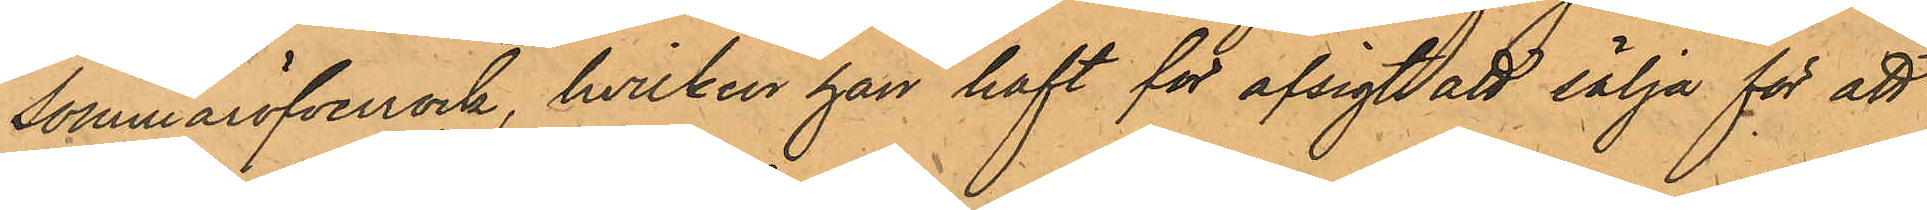sommaröfverrock, hvilken han haft för afsigt att sälja för att
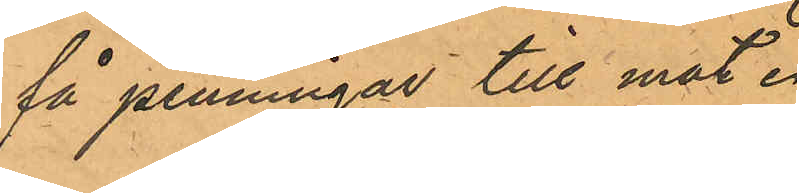få penningar till mat.
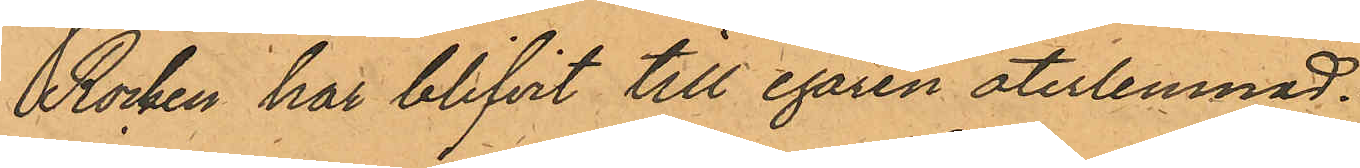Rocken har blifvit till egaren återlemnad.
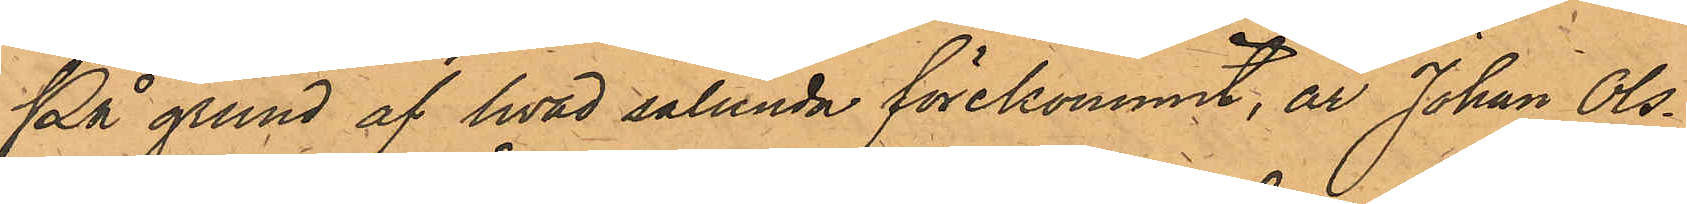På grund af hvad sålunda förekommit, är Johan Ols¬
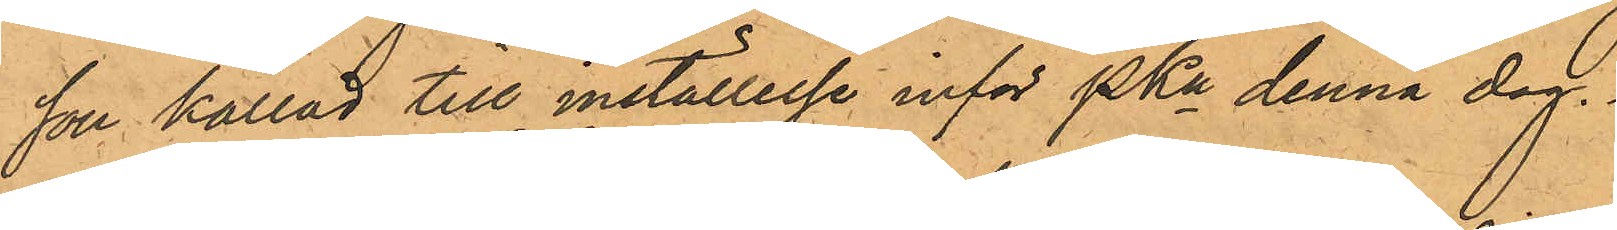son kallad till inställelse inför PKn denna dag.
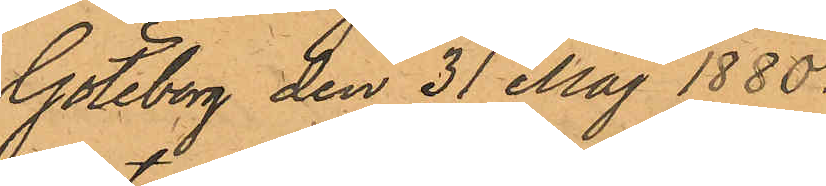Göteborg den 31 Maj 1880.
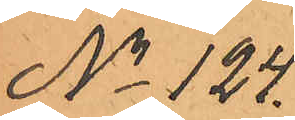No 124.
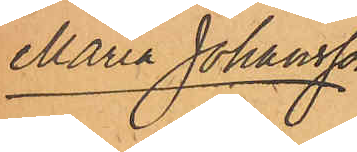Maria Johansson
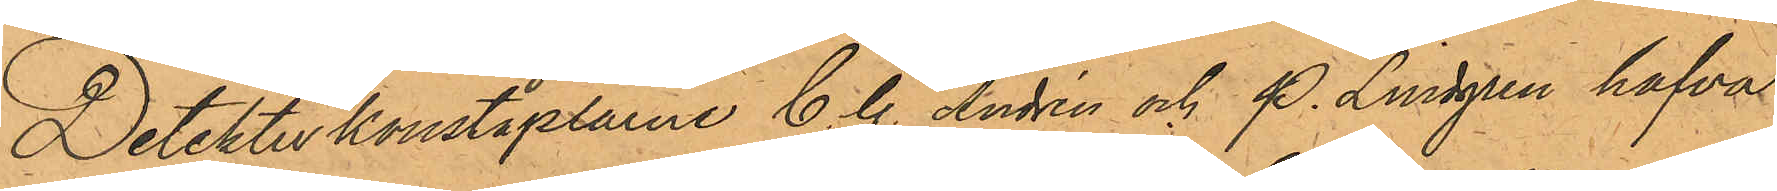Detektivkonstaplarne C. G. Andrén och P. Lindgren hafva
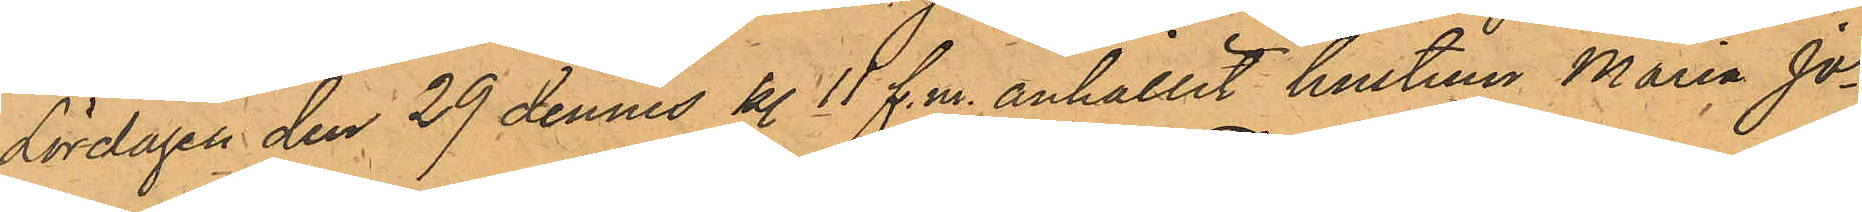Lördagen den 29 dennes kl 11 f.m. anhållit hustrun Maria Jo¬
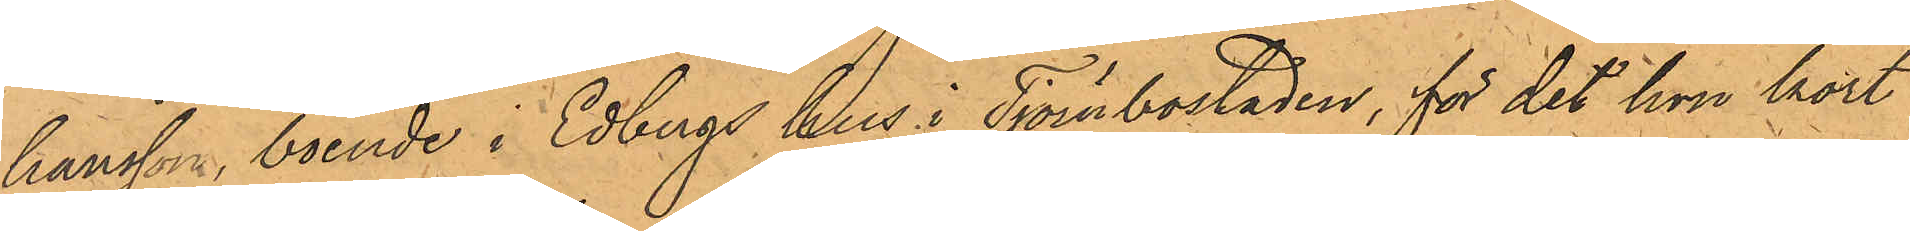hansson, boende i Edbergs hus i Tjörnbostaden, för det hon kort
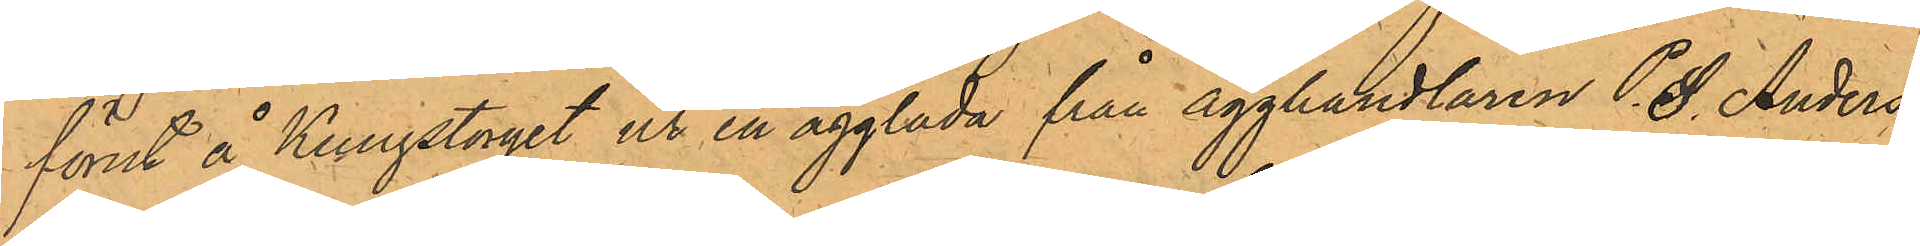förut å Kungstorget ur en ägglåda från ägghandlaren P. S. Anders¬
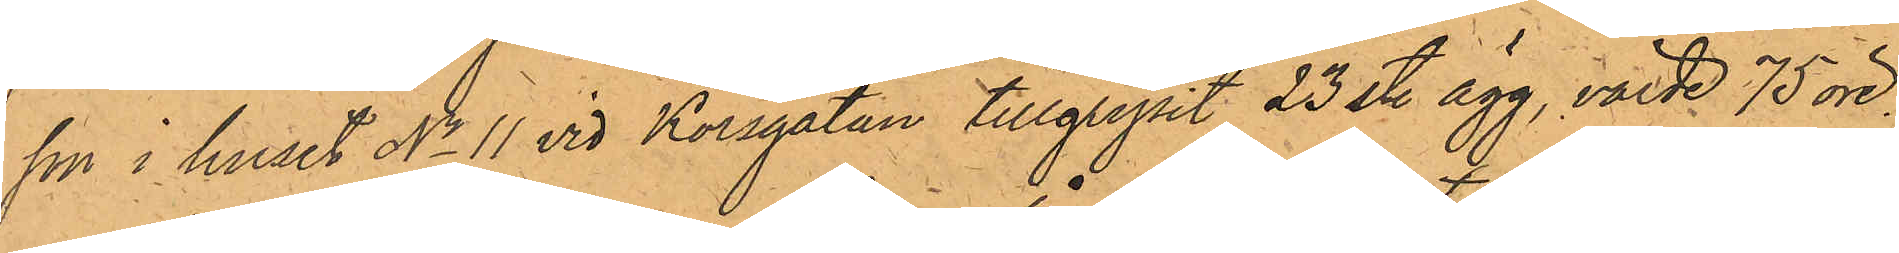son i huset No 11 vid Korsgatan tillgripit 23 st. ägg, värde 75 öre.
